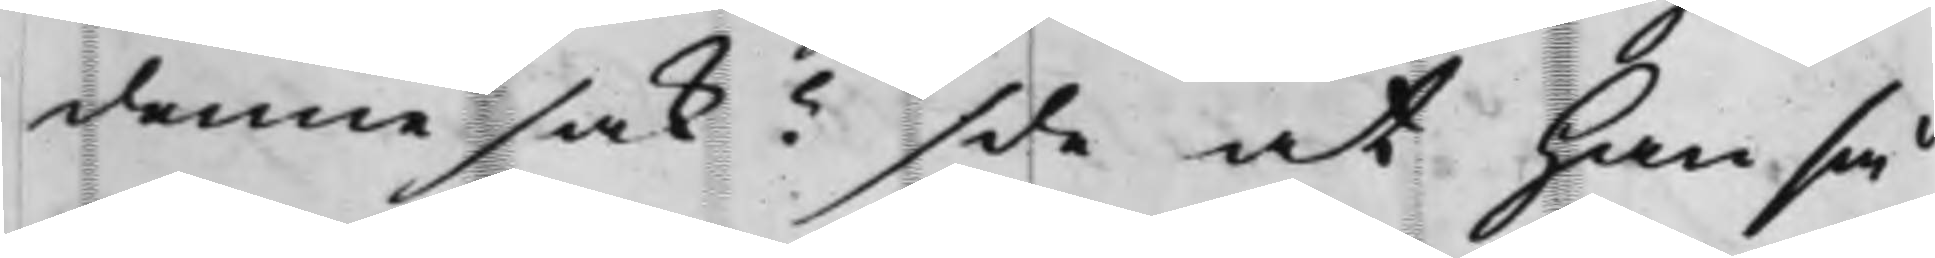denne sak? Sde at han så¬
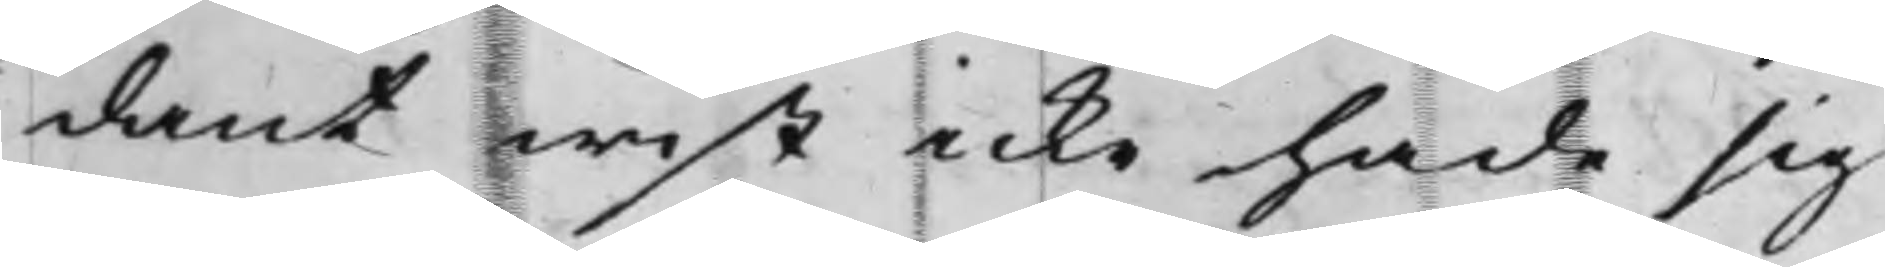dant wist icke hade sig
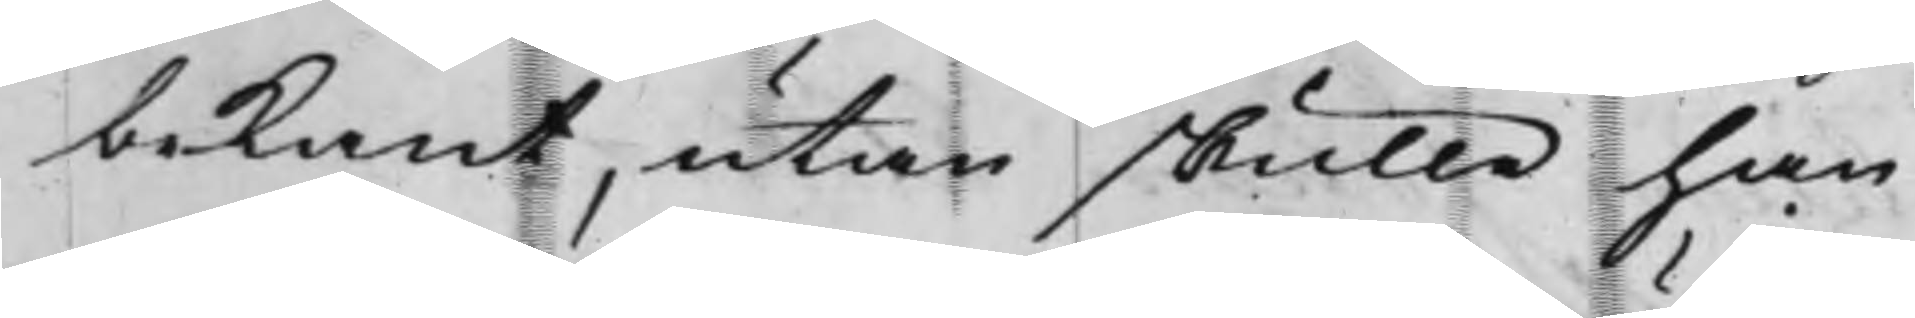bekant, utan skulle han
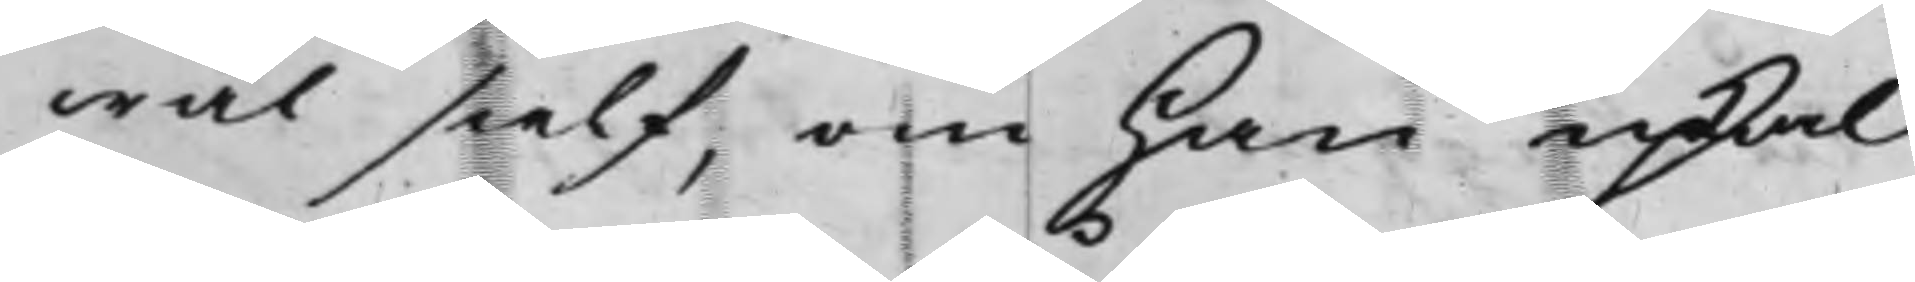wäl sielf, om han upkal¬
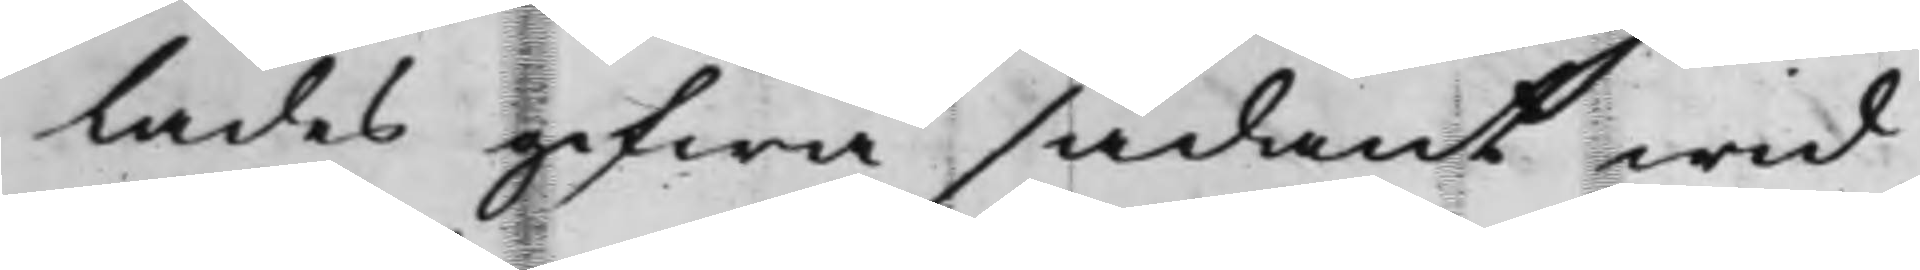lades gifwa sådant wid
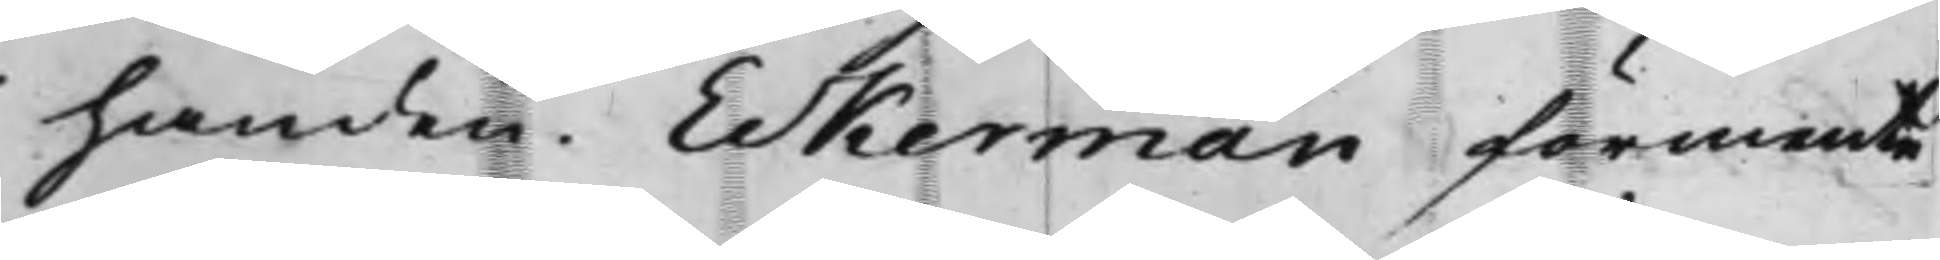handen. Eckerman förmente
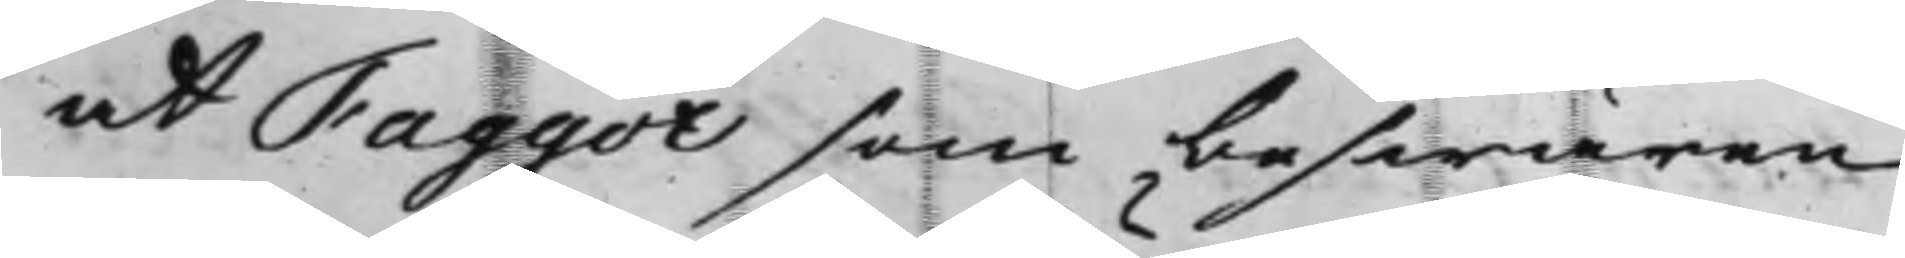at Faggot som beswären
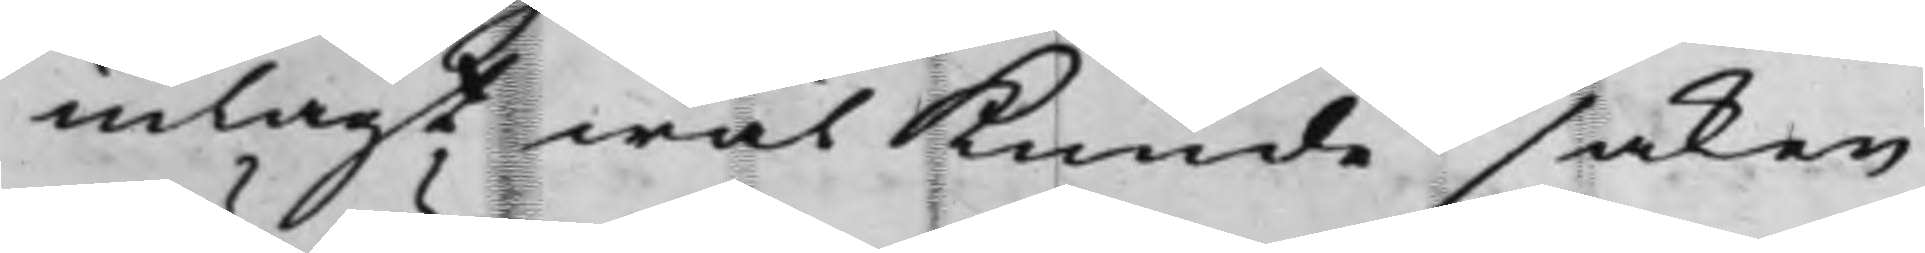inlagt wäl kunde saken
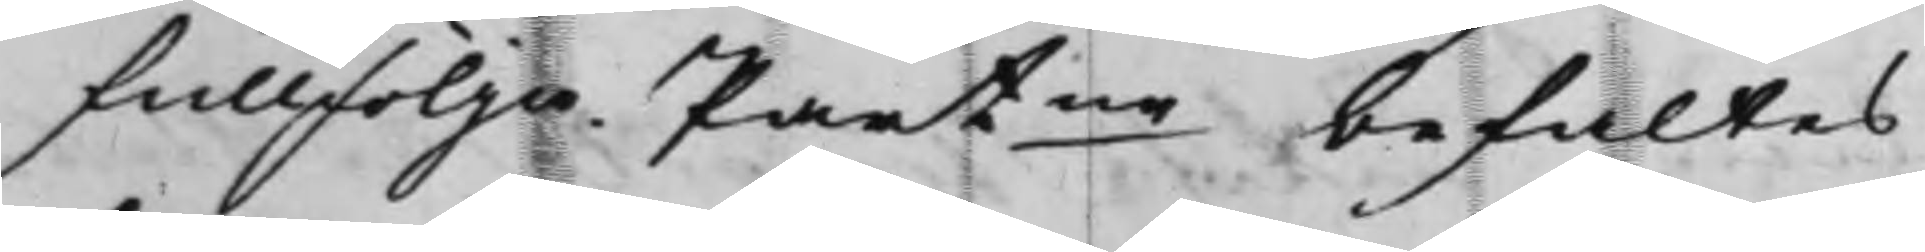fullfölja. Partne befaltes
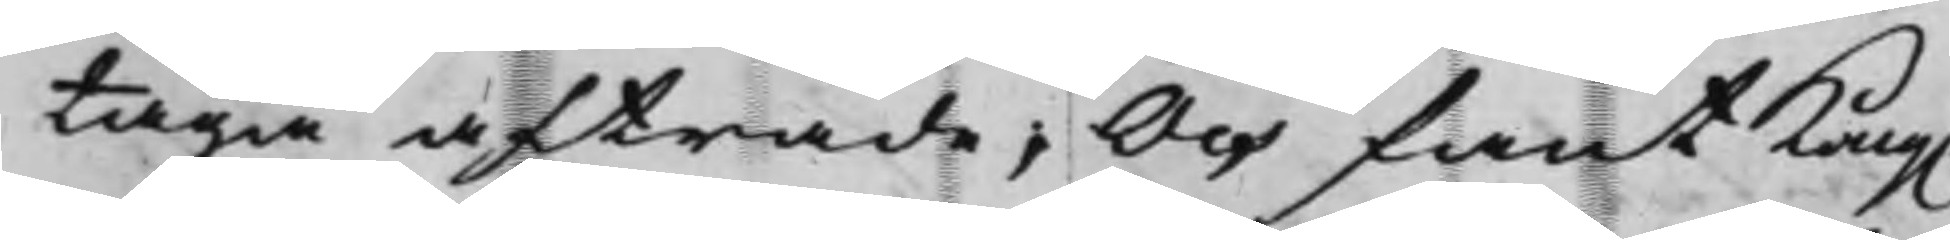taga afträde; Och fant Kong.
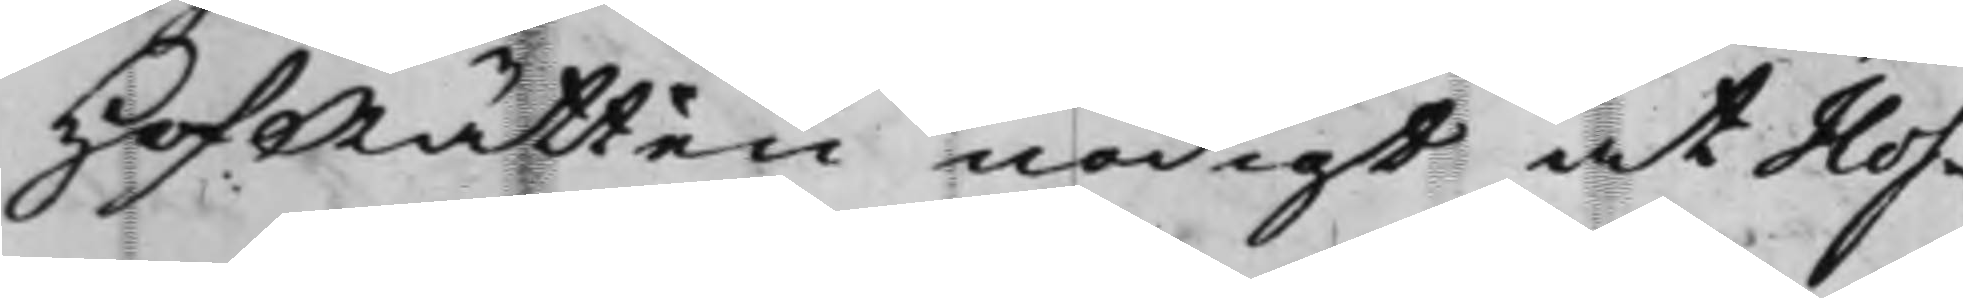HofRätten nödigt at Hof¬
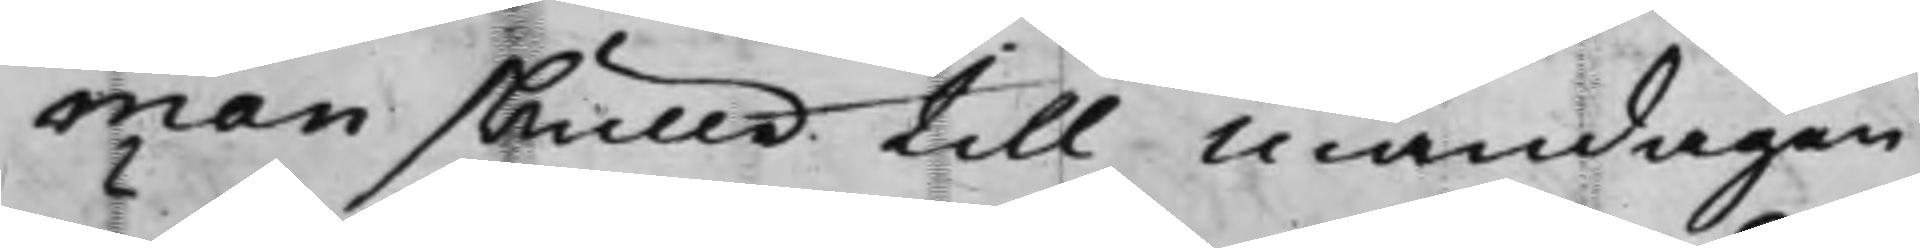man skulle till måndagen
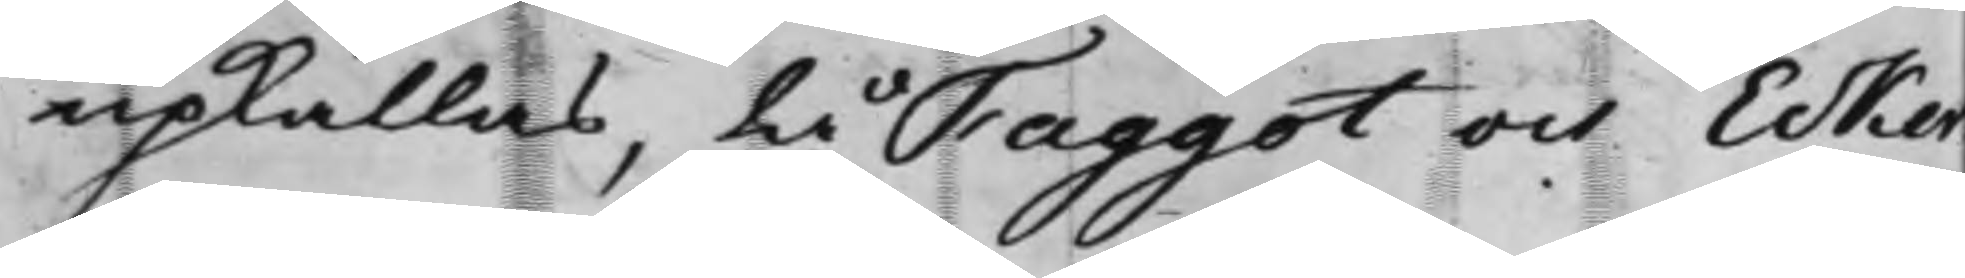upkallas, tå Faggot och Ecker¬
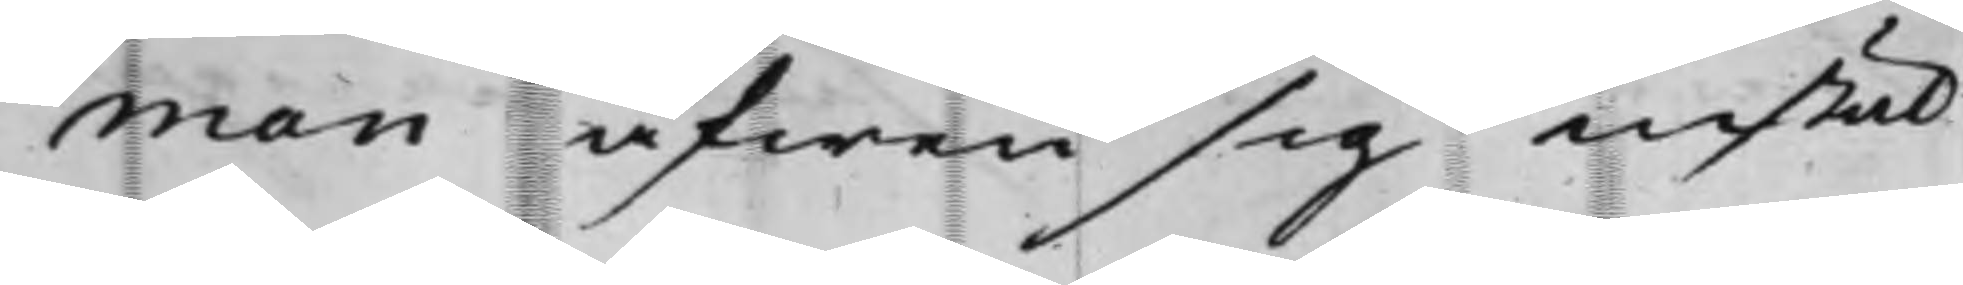man äfwen sig instäl¬
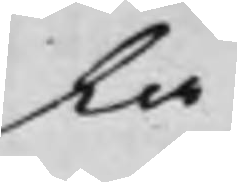la
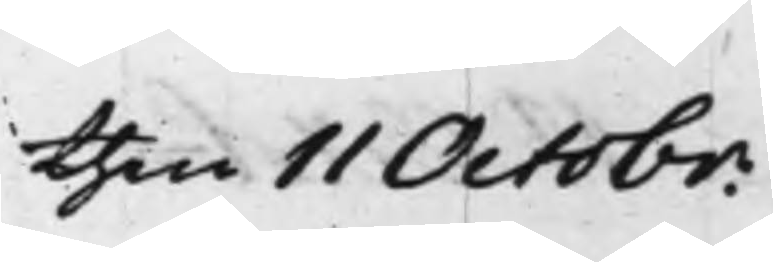then 11 Octobr:
